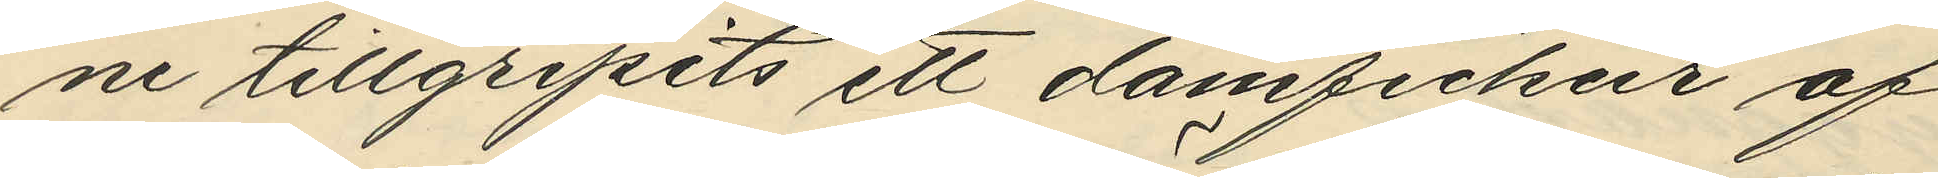ne tillgripits ett damfickur af
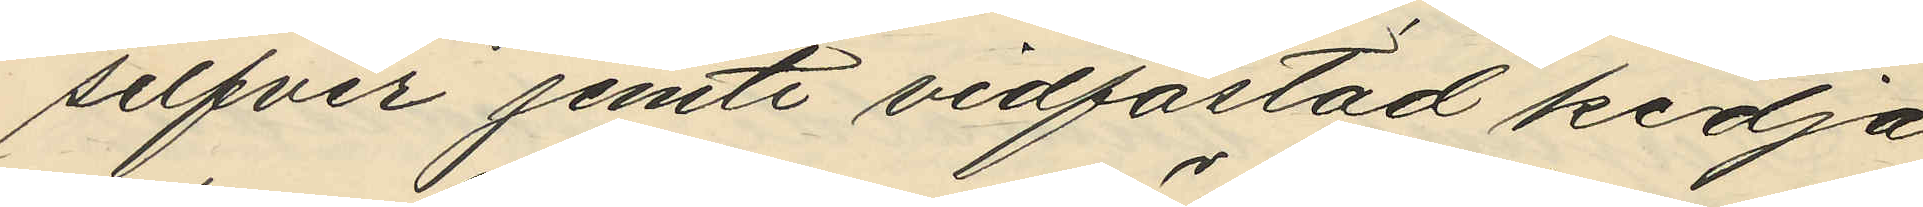silfver jemte vidfästad kedja
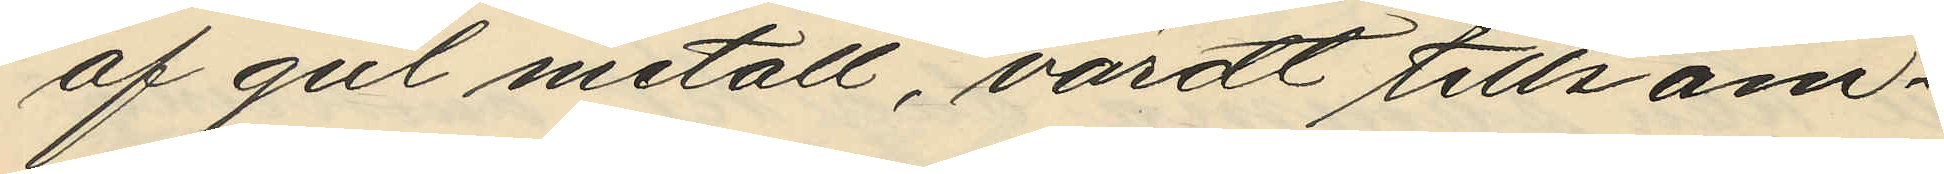af gul metall, värdt tillsam¬
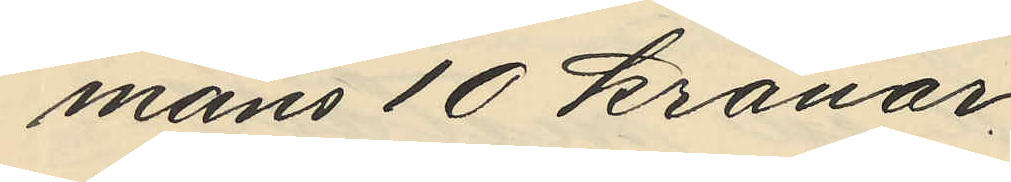mans 10 kronor.
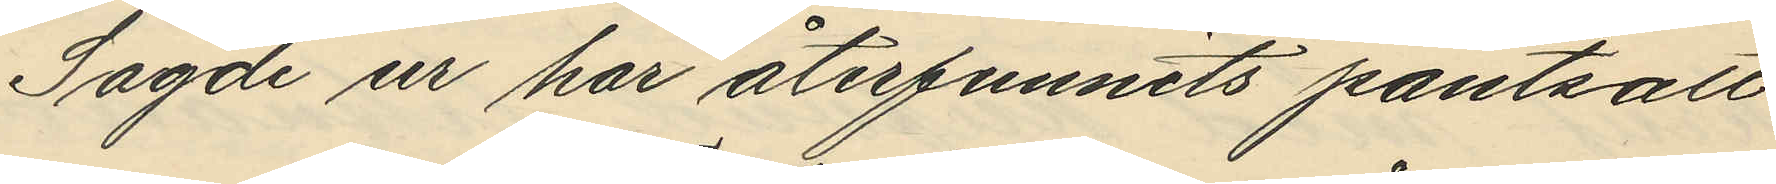Sagde ur har återfunnits pantsatt
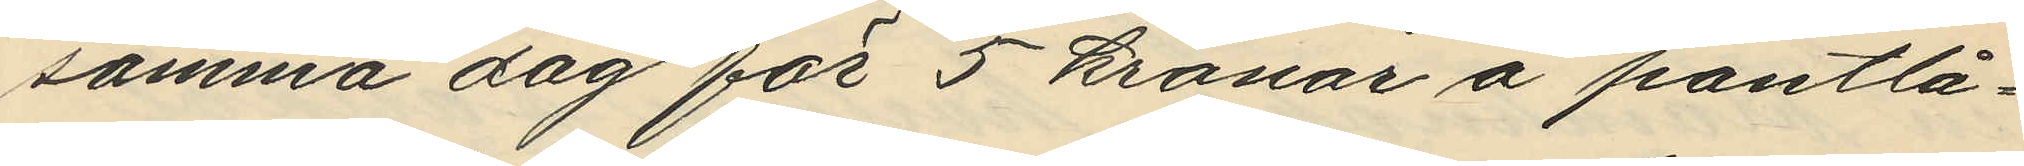samma dag för 5 kronor å pantlå¬
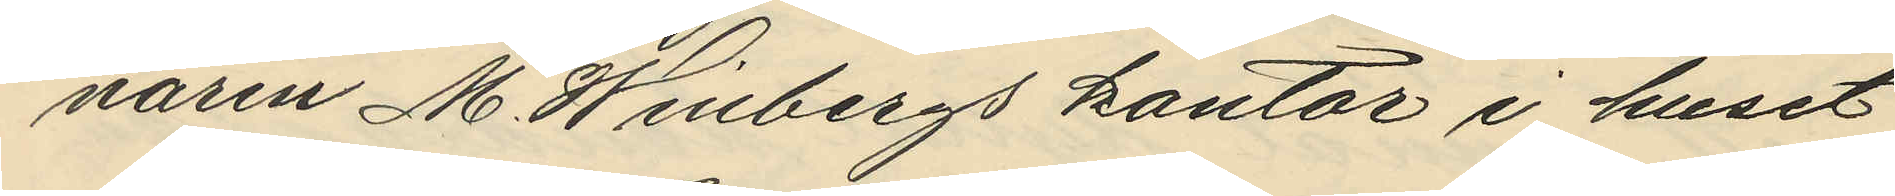naren M. Winbergs kontor i huset
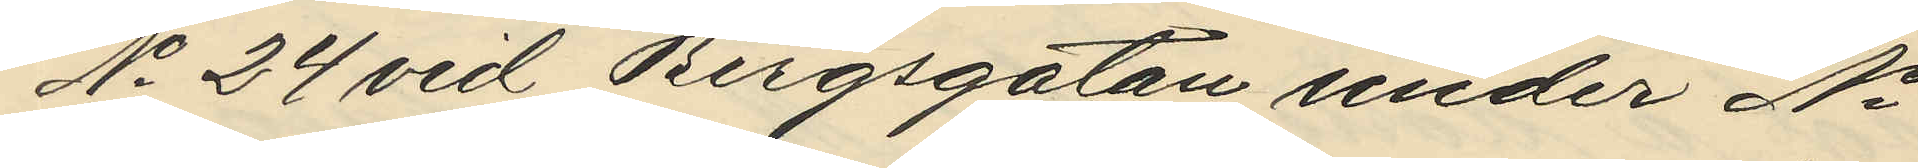No 24 vid Bergsgatan under No
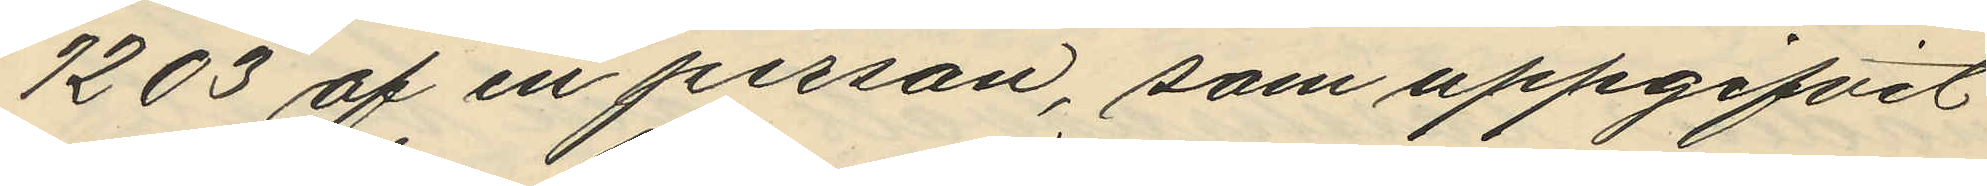1203 af en person, som uppgifvit
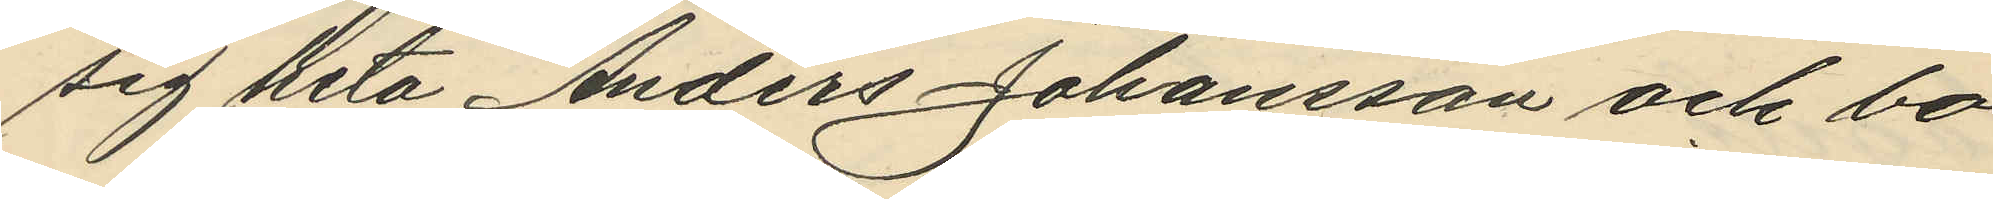sig heta Anders Johansson och bo
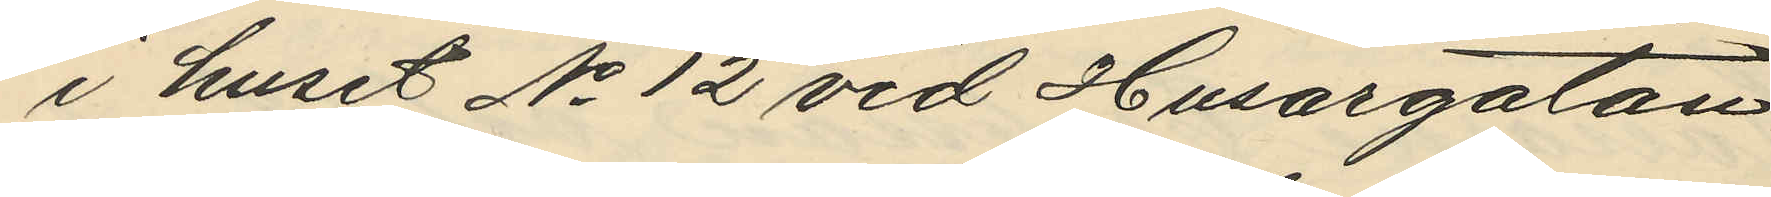i huset No 12 vid Husargatan
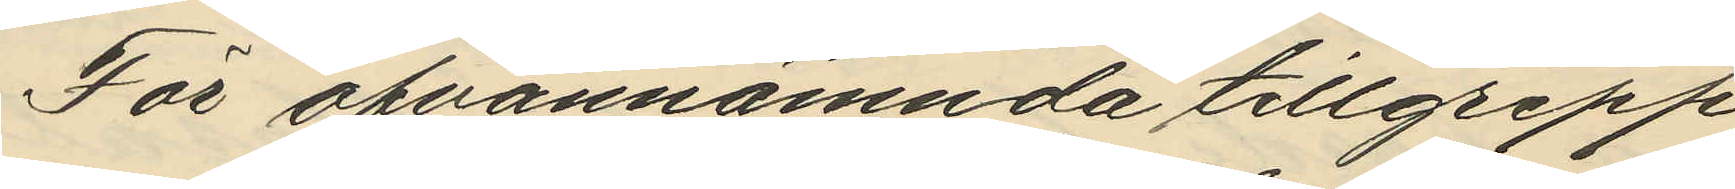För ofvannämnda tillgrepp
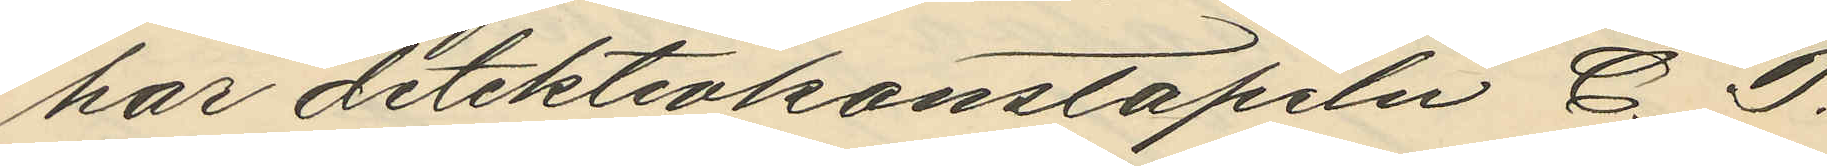har detektivkonstapeln C. P.
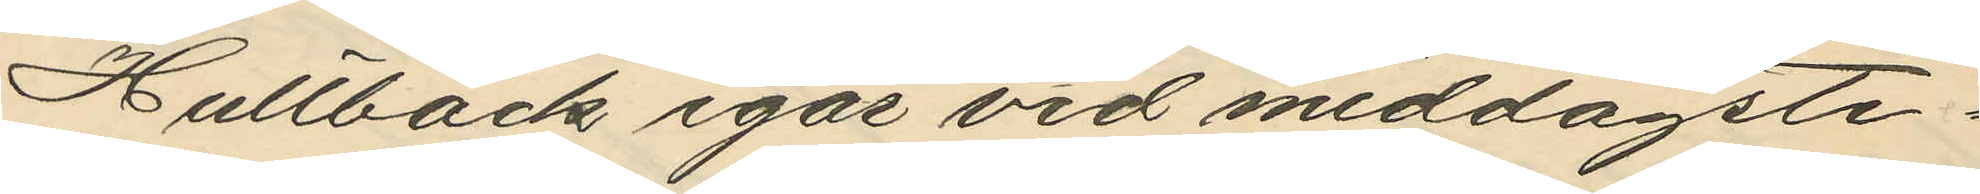Hultbäck igår vid middagsti¬
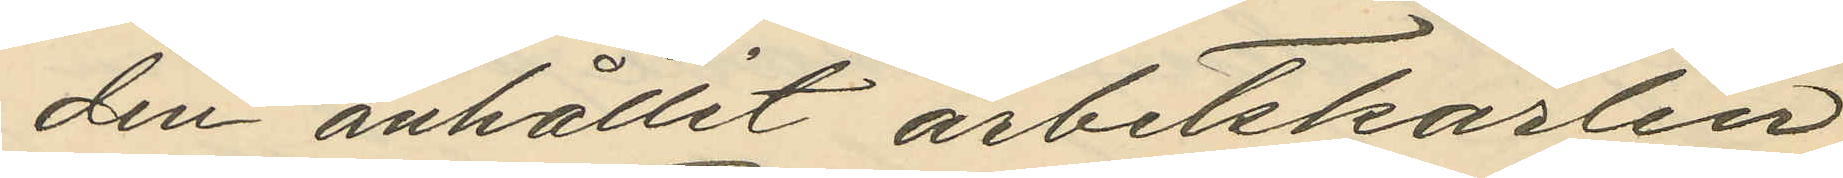den anhållit arbetskarlen
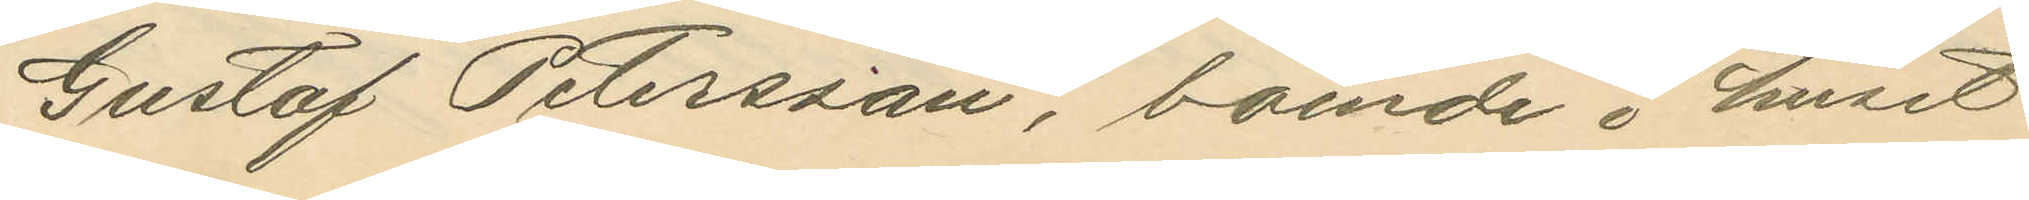Gustaf Petersson, boende i huset
